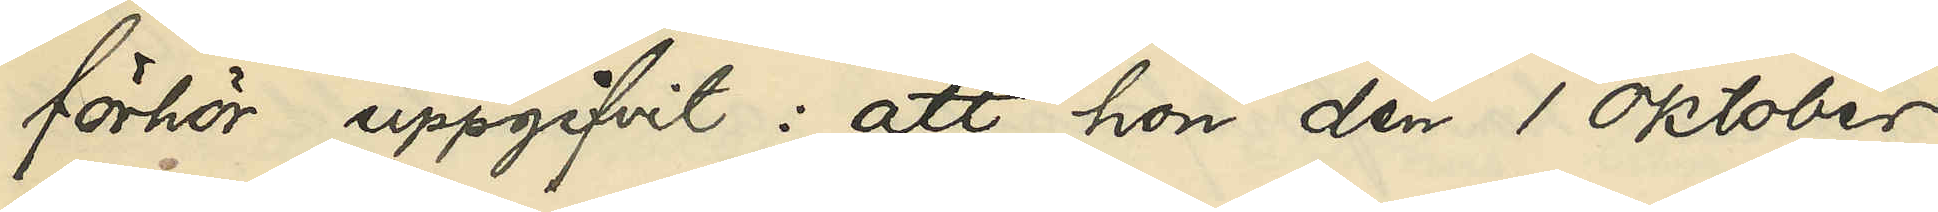förhör uppgifvit: att hon den 1 oktober
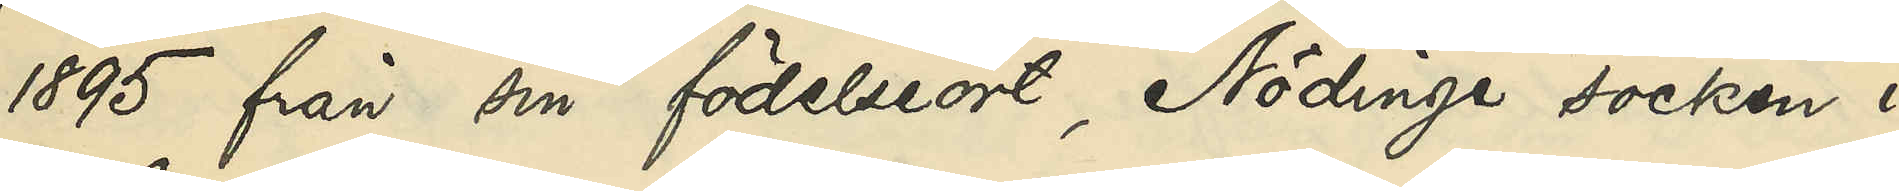1895 från sin födelseort, Nödinge socken i
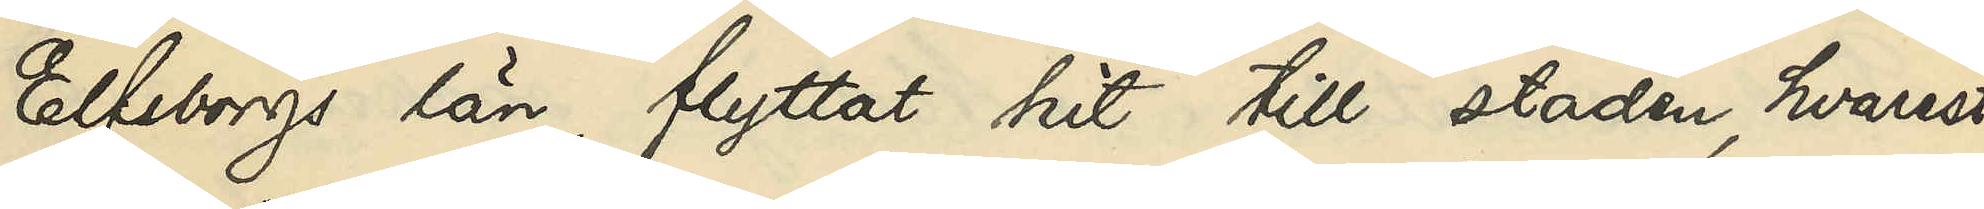Elfsborgs län, flyttat hit till staden, hvarest
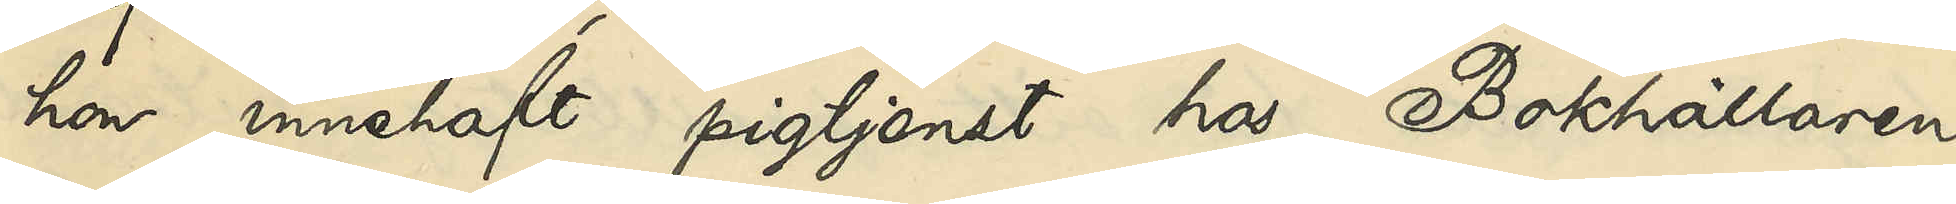hon innehaft pigtjenst hos Bokhållaren
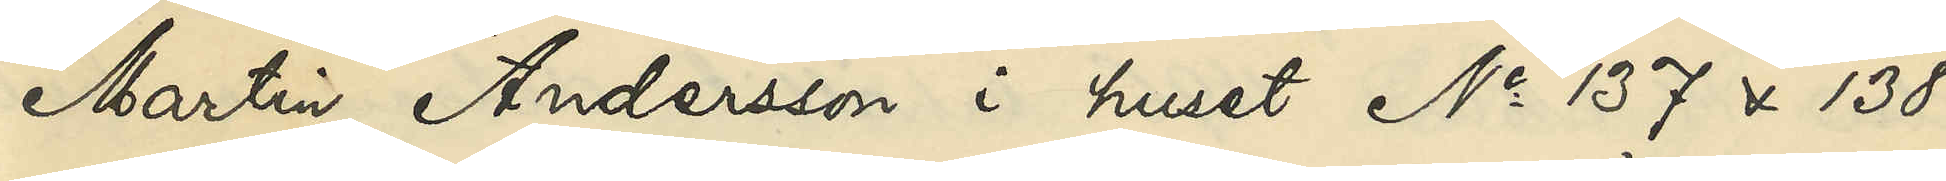Martin Andersson i huset No 137 & 138
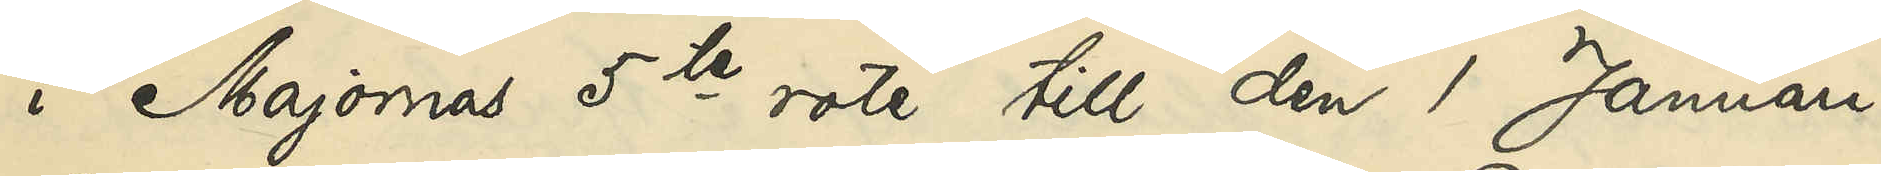i Majornas 5te rote till den 1 Januari
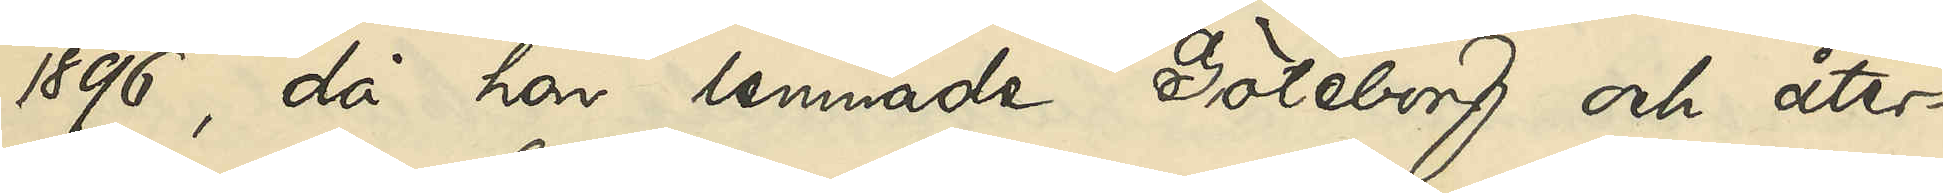1896, då hon lemnade Göteborg och åter¬
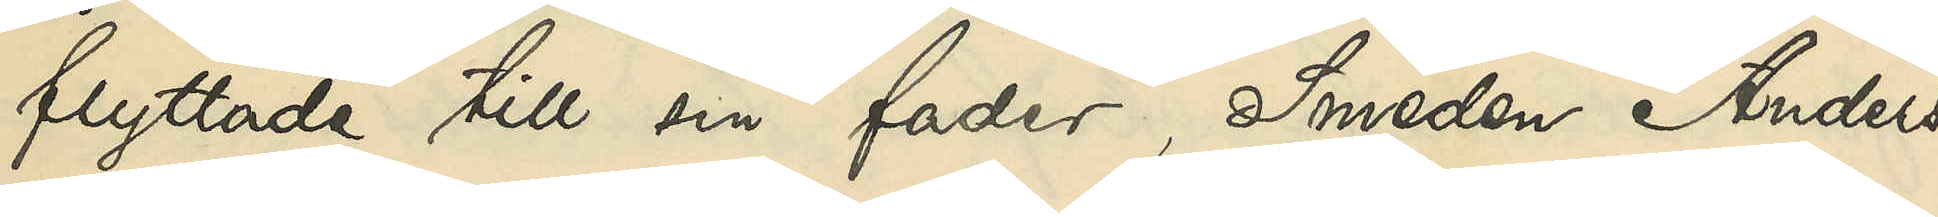flyttade till sin fader, Smeden Anders
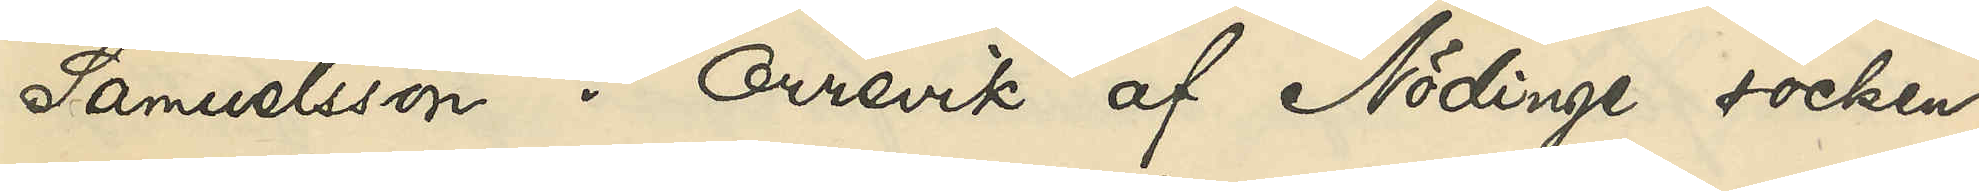Samuelsson i Orrevik af Nödinge socken;
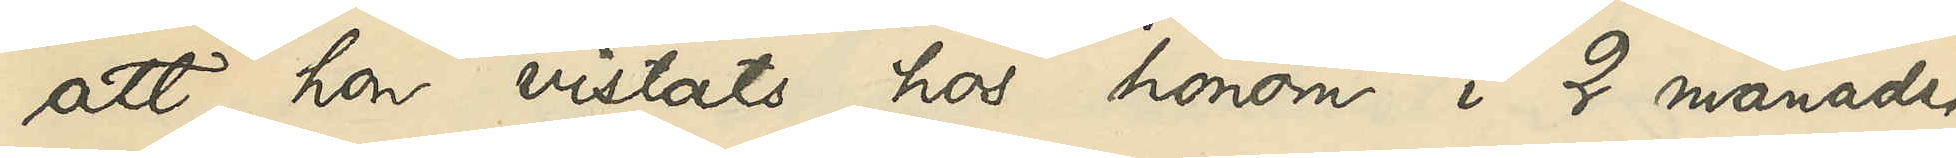att hon vistats hos honom i 2 månader
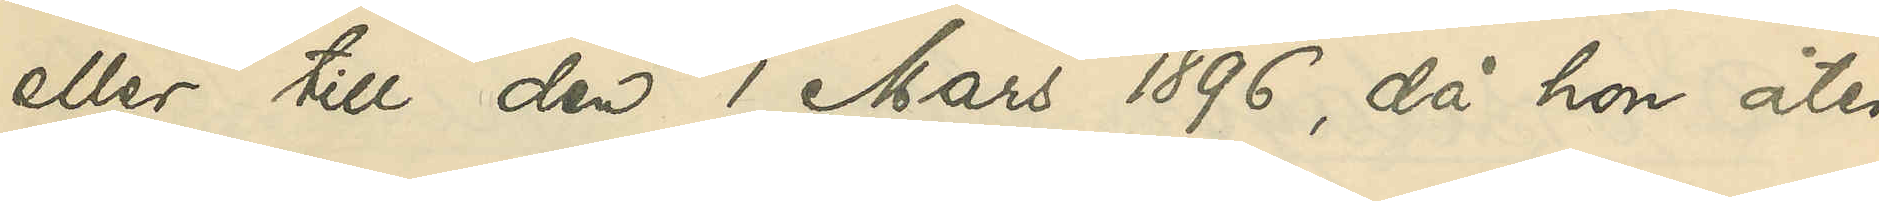eller till den 1 Mars 1896, då hon åter
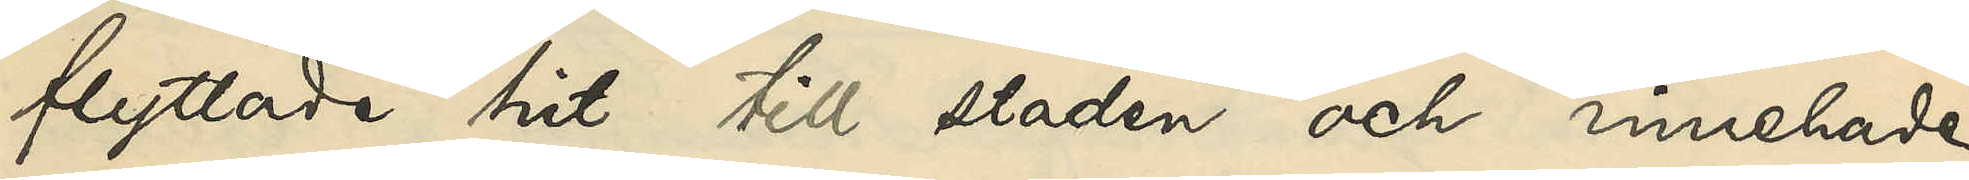flyttade hit till staden och innehade
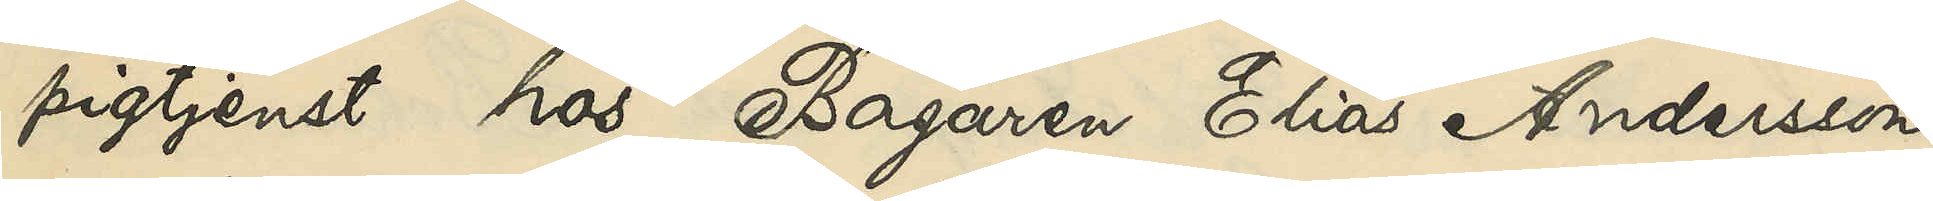pigtjenst hos Bagaren Elias Andersson
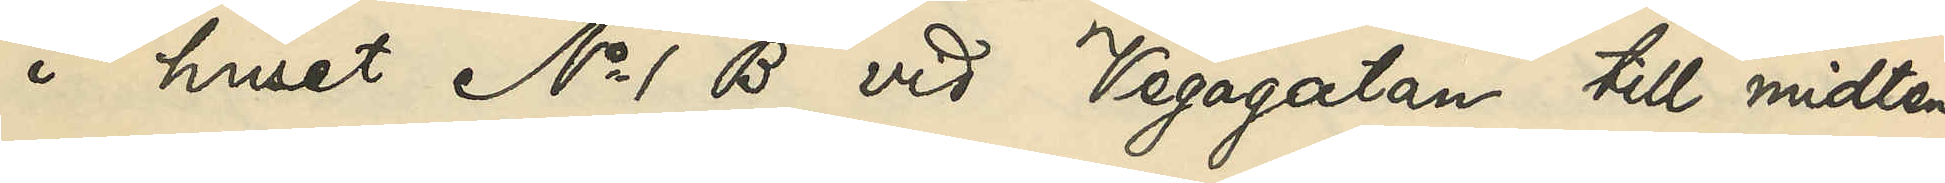i huset No 1 B vid Vegagatan till midten
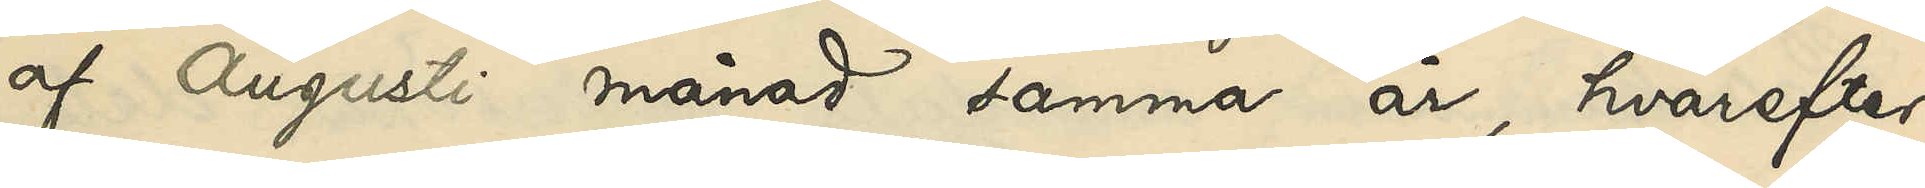af Augusti månad samma år, hvarefter
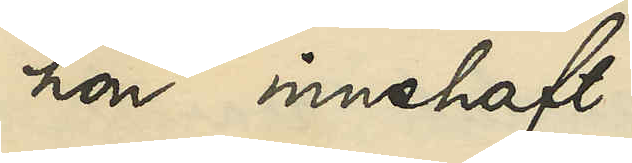hon innehaft 
